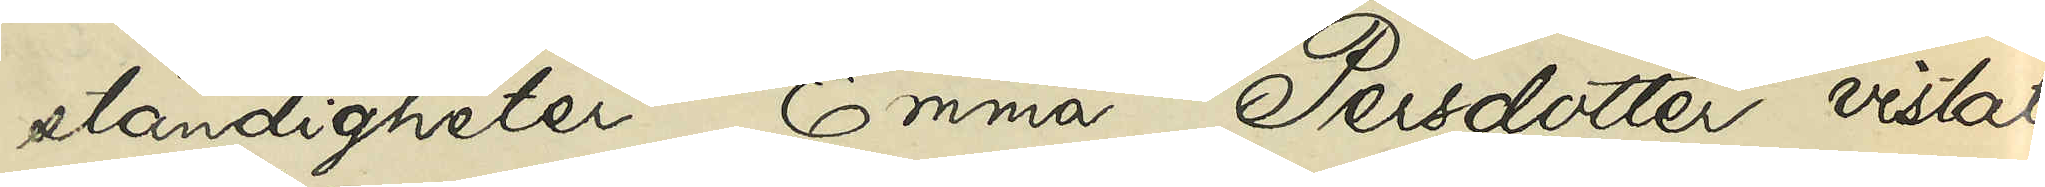ständigheter Emma Persdotter vistats
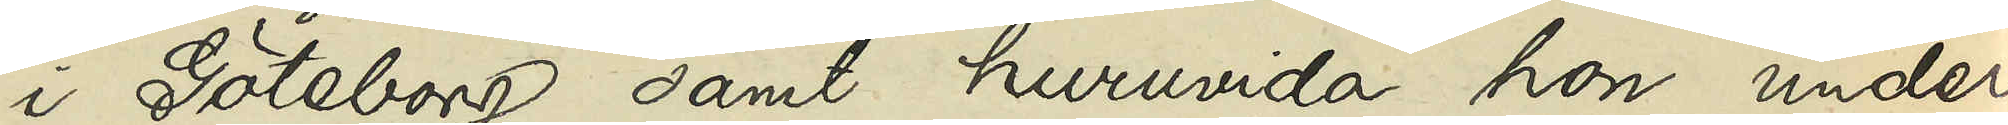i Göteborg samt huruvida hon under
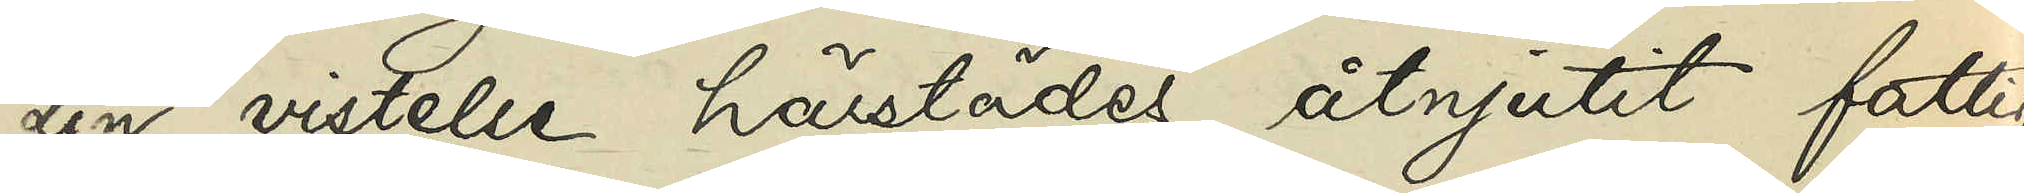sin vistelse härstädes åtnjutit fattig¬
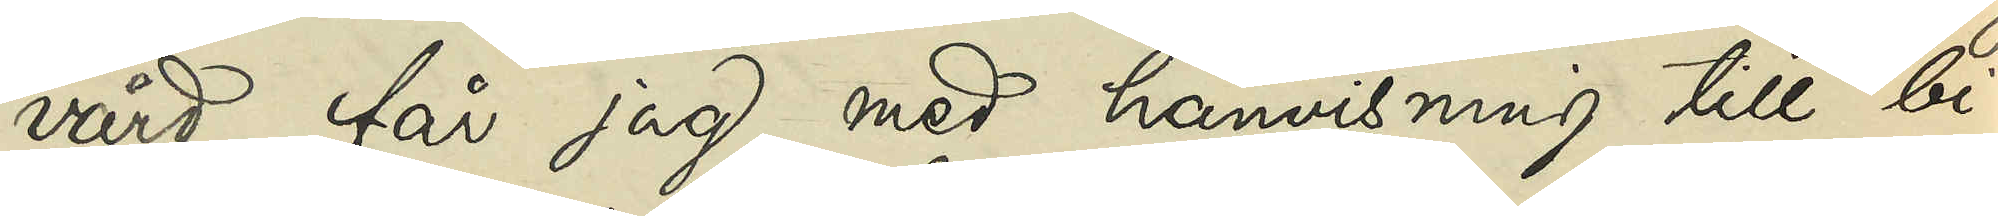vård, får jag, med hänvisning till bi¬
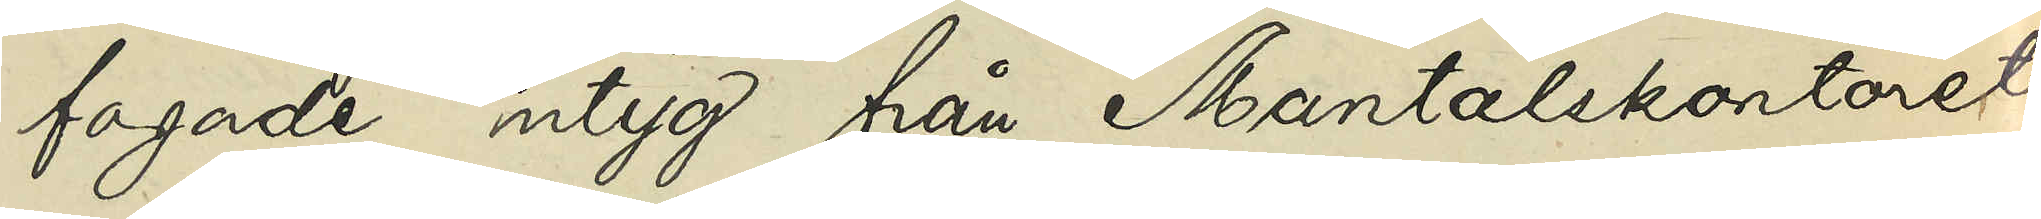fogade intyg från Mantalskontoret
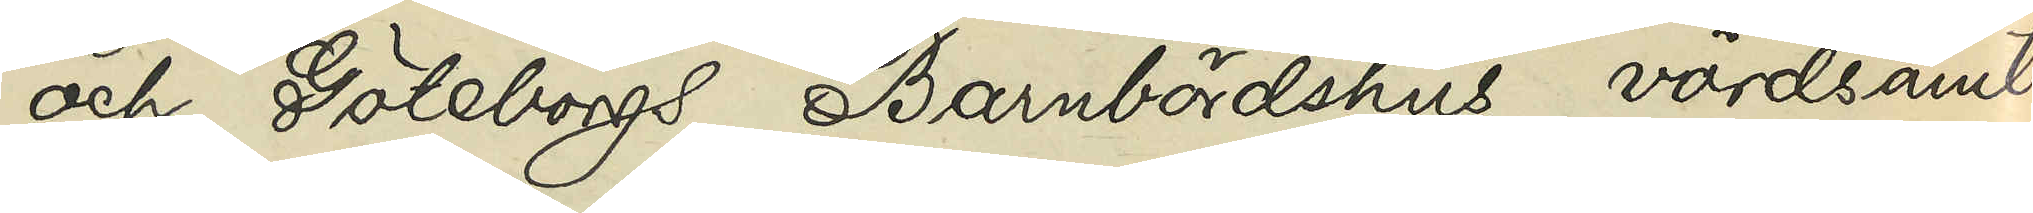och Göteborgs Barnbördshus, vördsamt
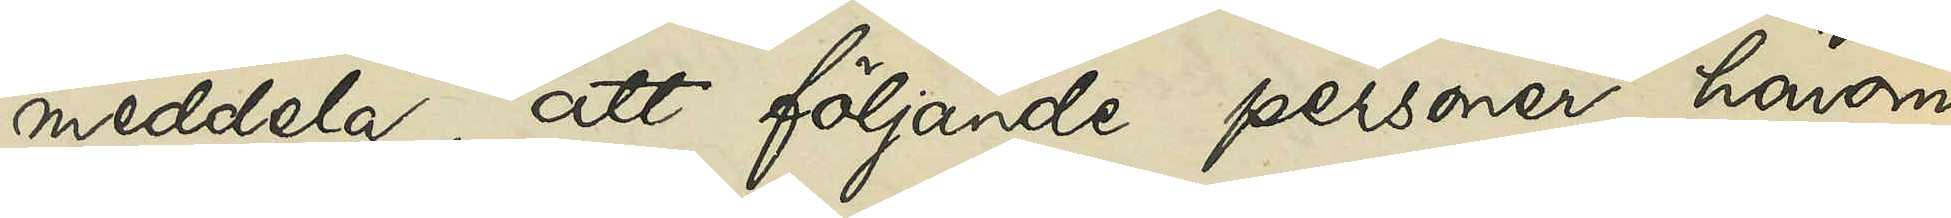meddela, att följande personer, härom
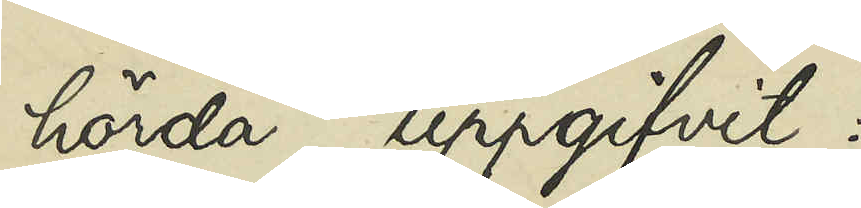hörda, uppgifvit:
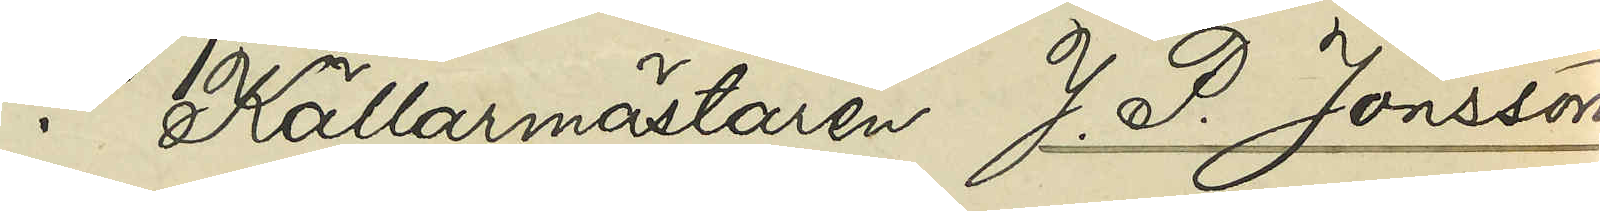1o Källarmästaren J. P. Jonsson,
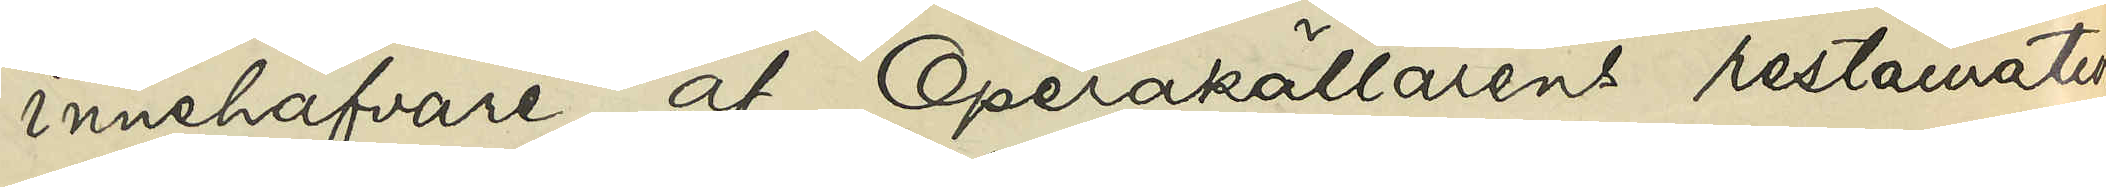innehafvare af Operakällarens restauration
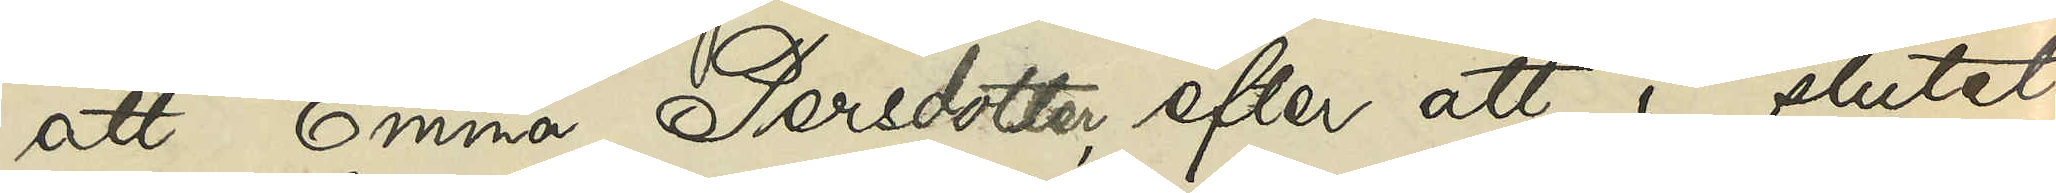att Emma Persdotter, efter att i slutet
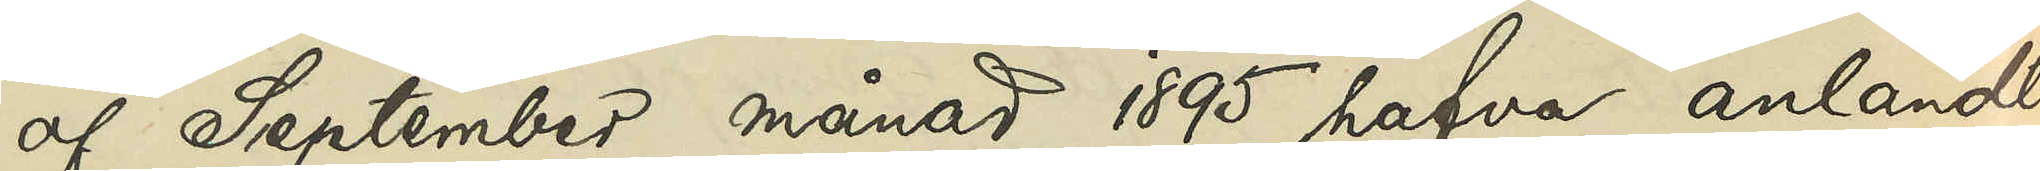af September månad 1895 hafva anländt
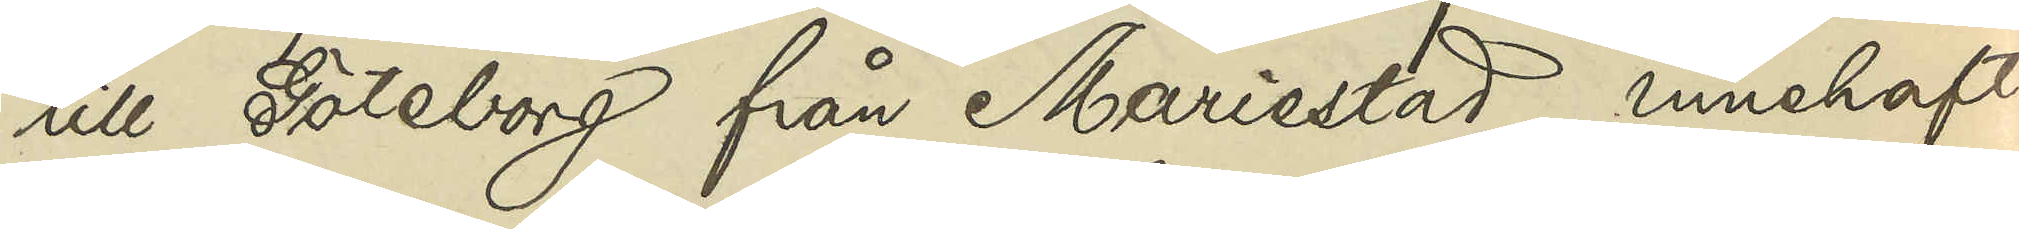till Göteborg från Mariestad, innehaft
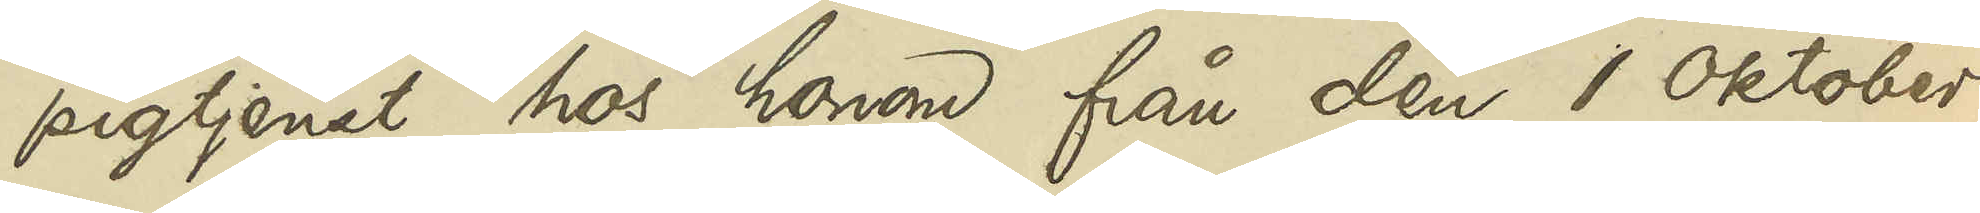pigtjenst hos honom från den 1 Oktober
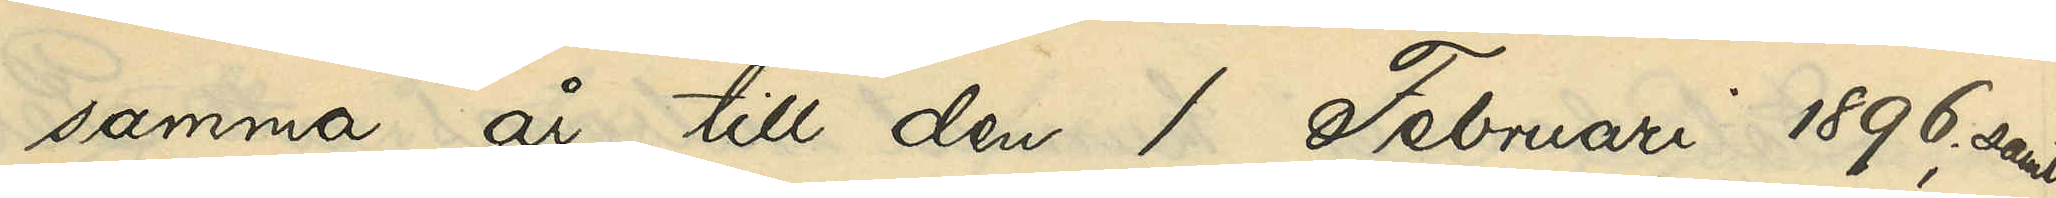samma år till den 1 Februari 1896; samt
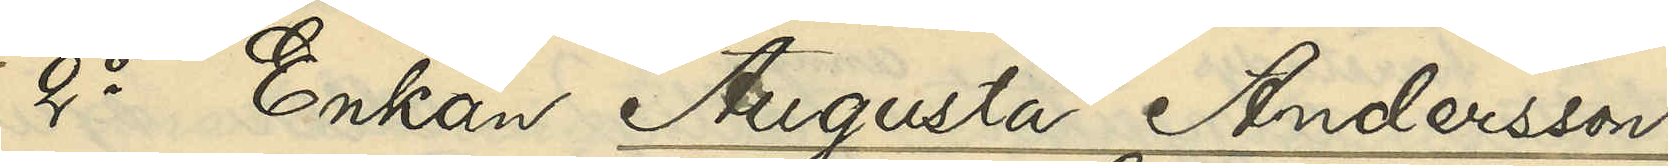2o Enkan Augusta Andersson,
